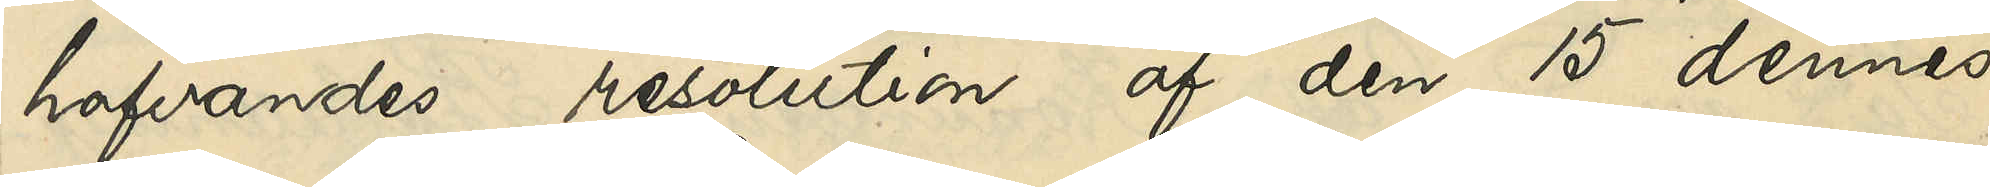hafvandes resolution af den 15 dennes,
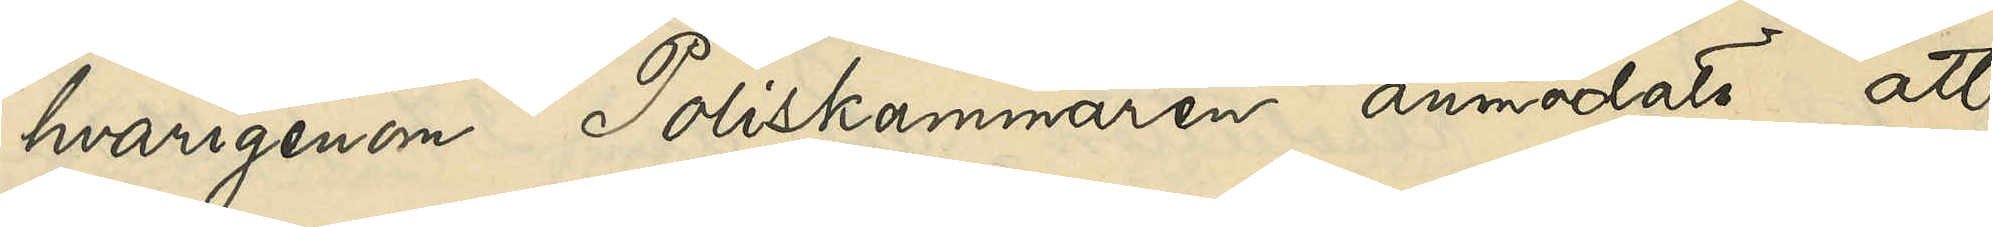hvarigenom Poliskammaren anmodats att
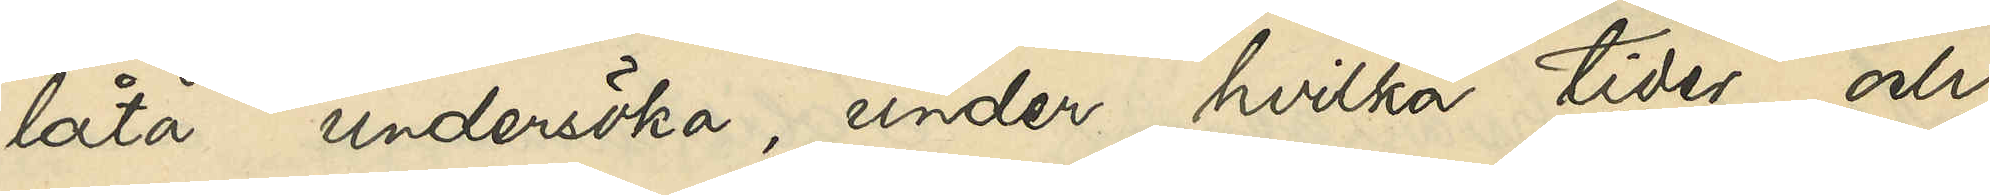låta undersöka, under hvilka tider och
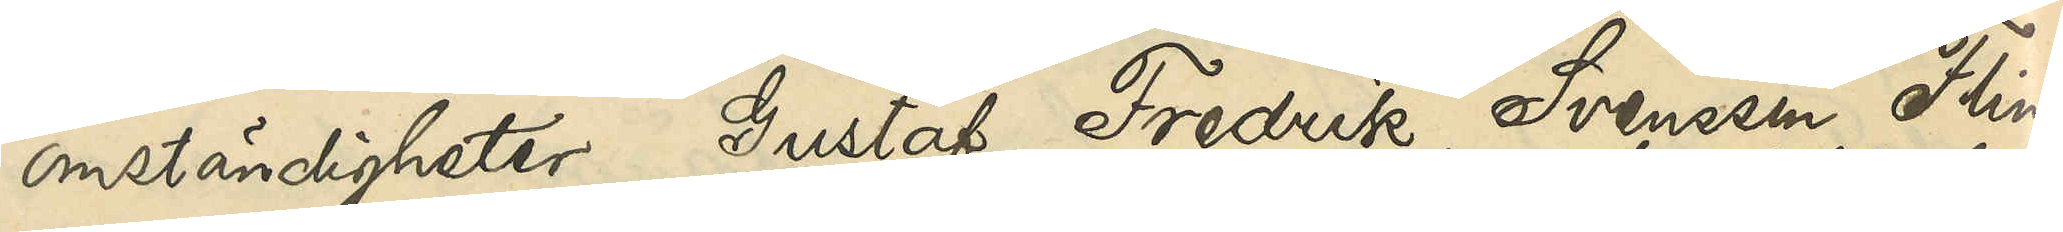omständigheter Gustaf Fredrik Svensson Flink
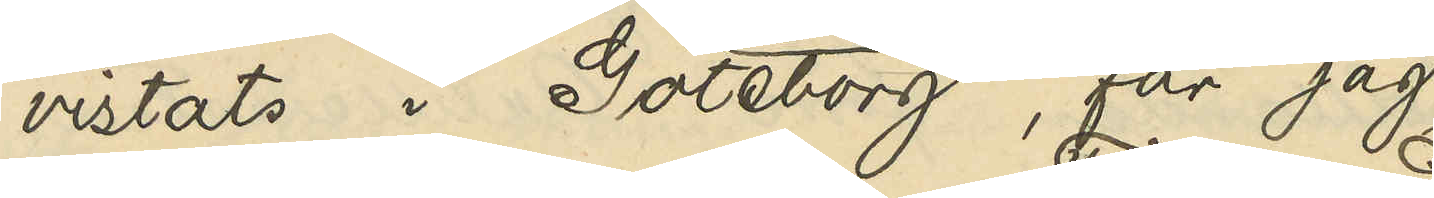vistats i Göteborg, får jag
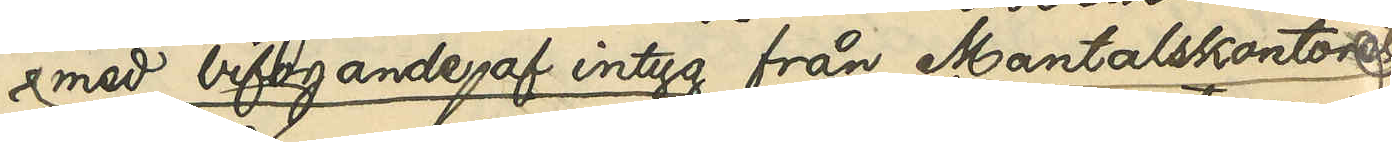med bifogande af intyg från Mantalskontoret,
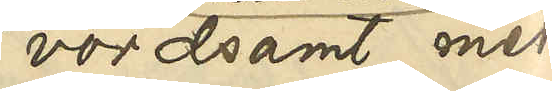vördsamt med¬
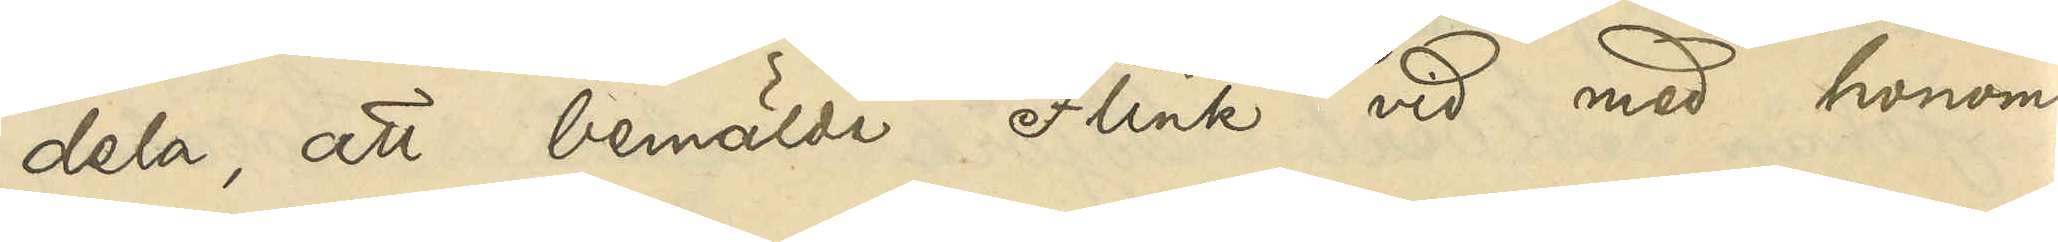dela, att bemälde Flink vid med honom
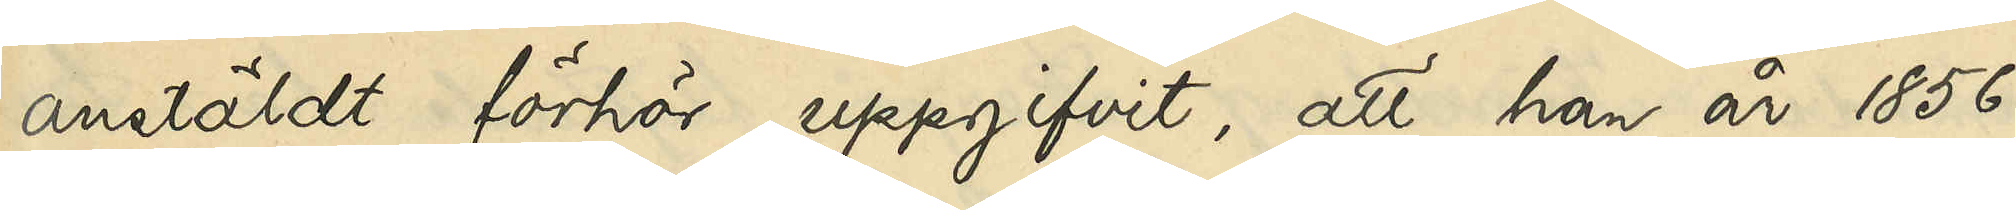anstäldt förhör uppgifvit, att han år 1856
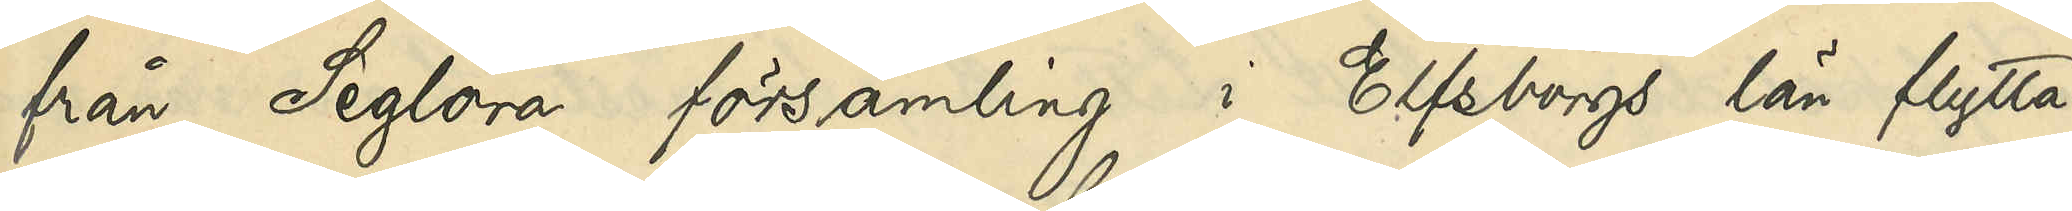från Seglora församling i Elfsborgs län flytta¬
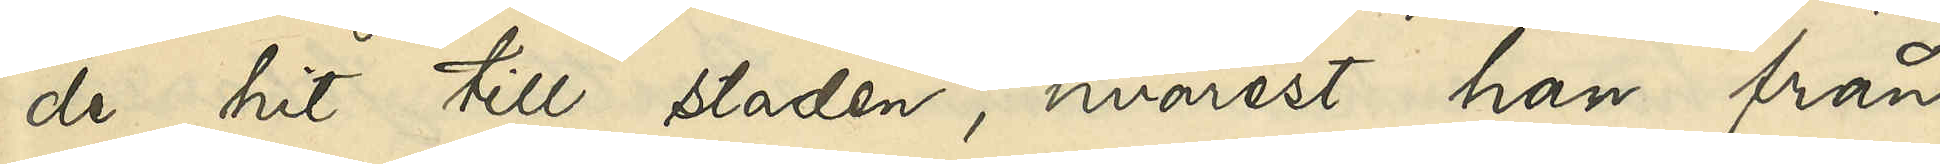de hit till staden, hvarest han från
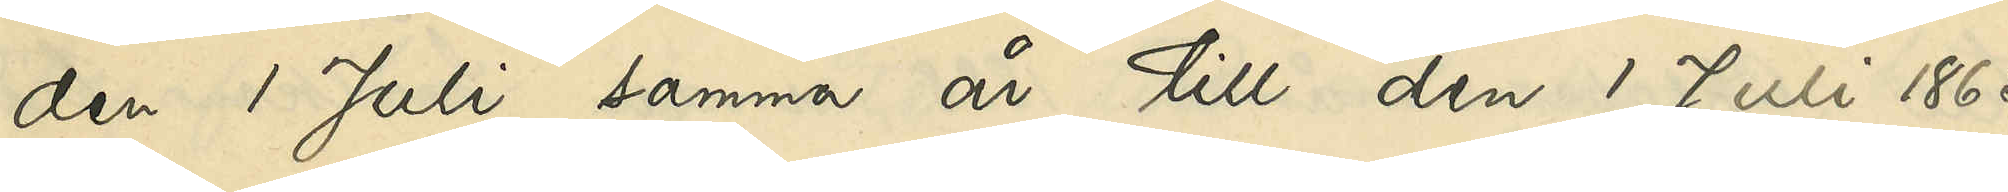den 1 Juli samma år till den 1 Juli 1865
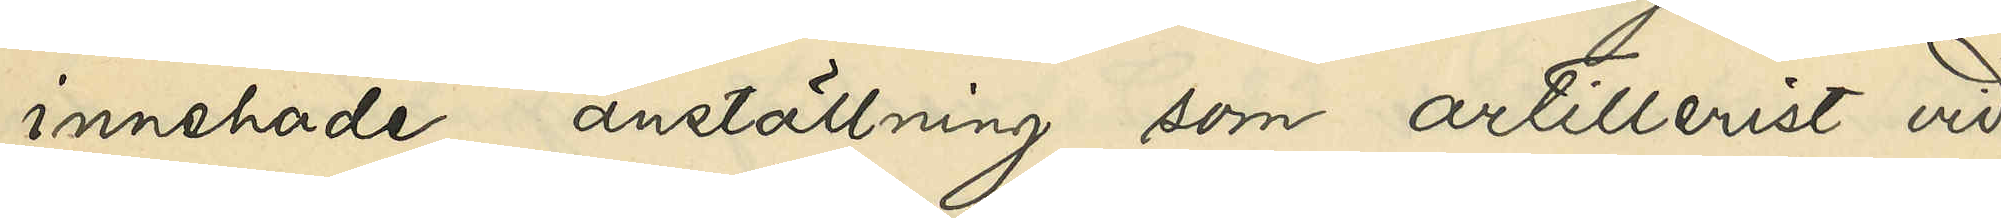innehade anställning som artillerist vid
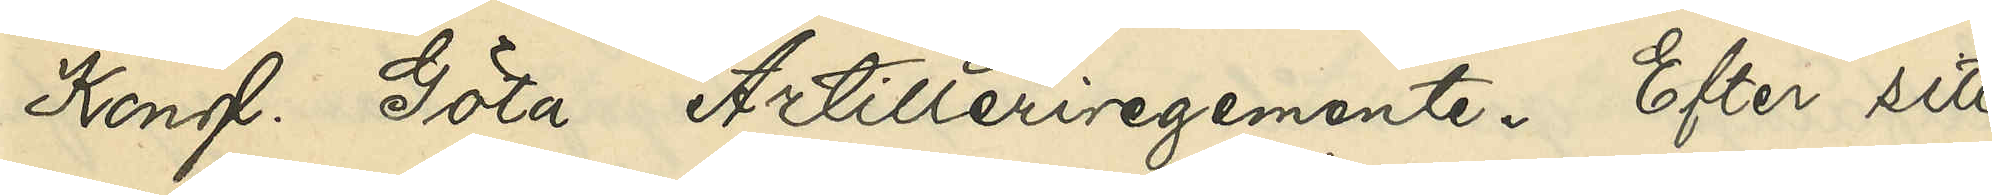Kongl Göta Artilleriregemente. Efter sitt
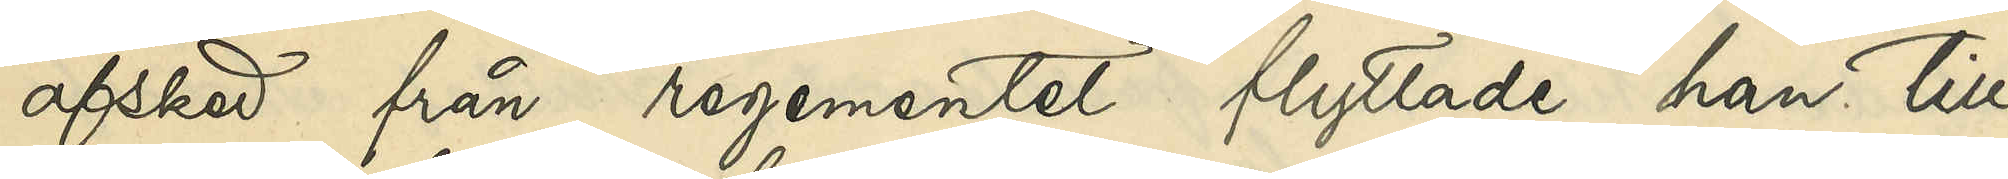afsked från regementet flyttade han till
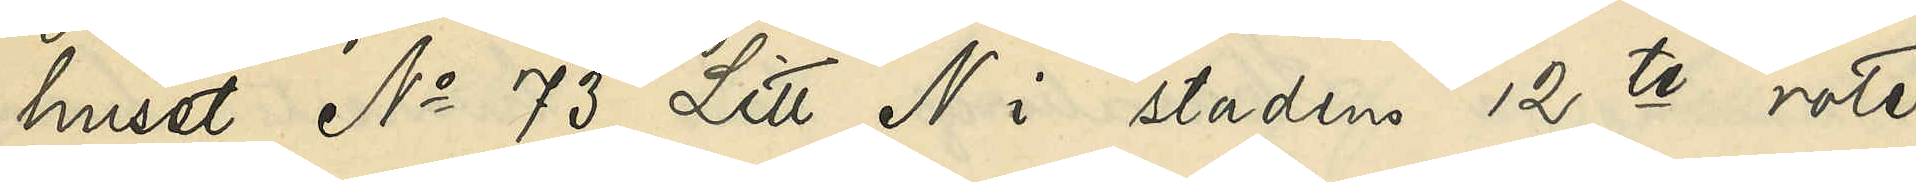huset No 73 Litt. N i stadens 12te rote,
